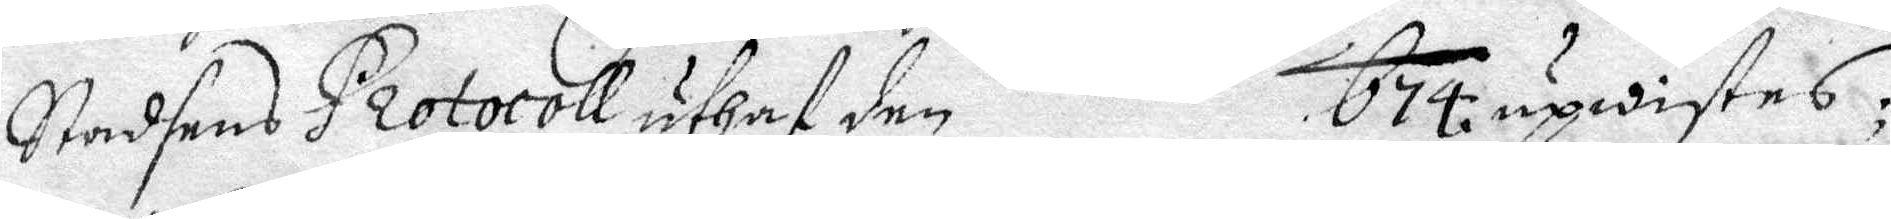Stadsens Protocoll uthaf den 674 upwistes:,
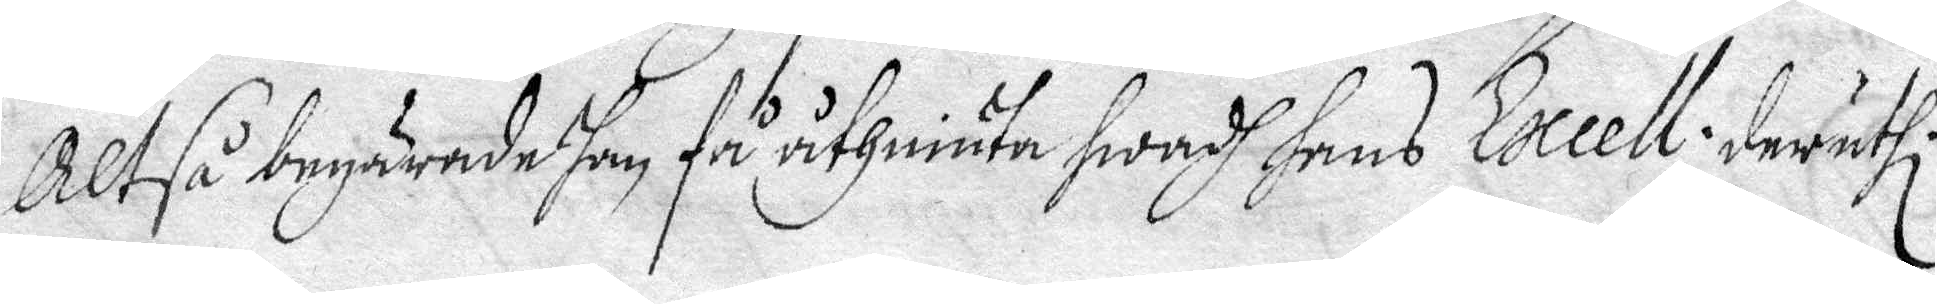Altså begärade han få uthhiuta hwadh hans Excell: deruthi.
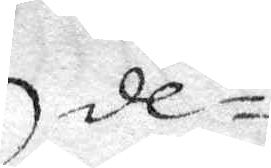de¬
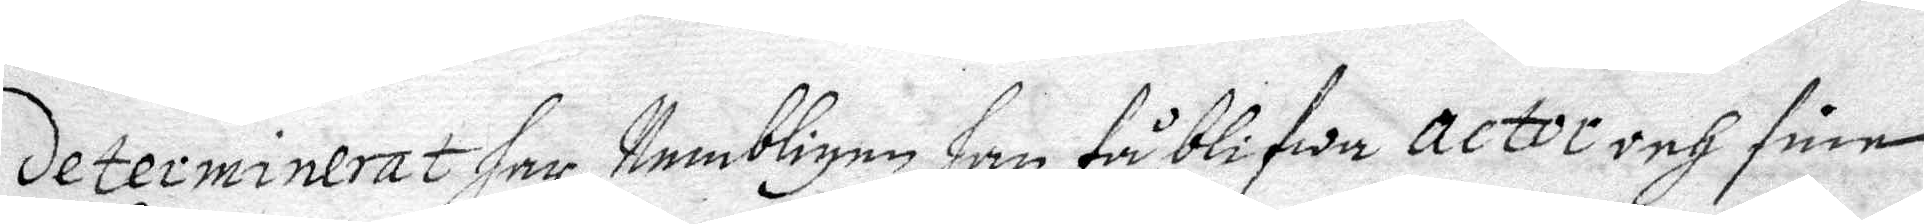Determinerat har, Nembligen han få blifwa actor och sine
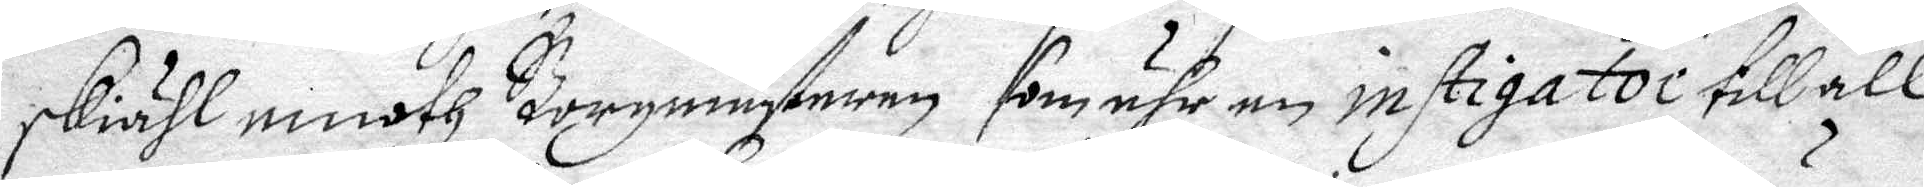skiähl emoth Borgmästaren som ähr en instigator till all
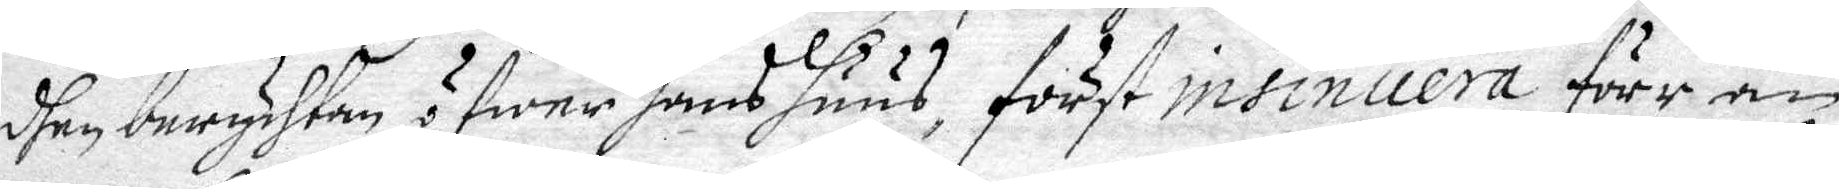dhen beryhtan öfwer hans huus, först insinuera förr än
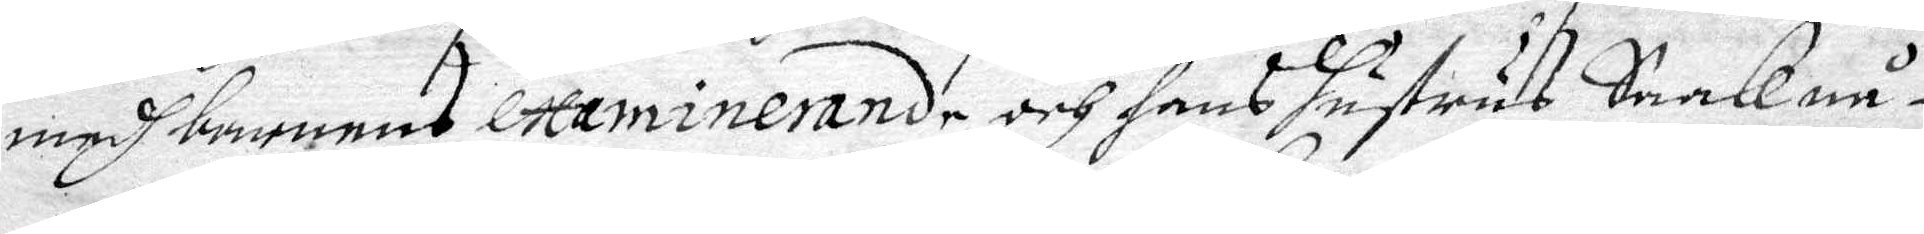medh barnens examinerande och hans Hustrus Saak nå¬
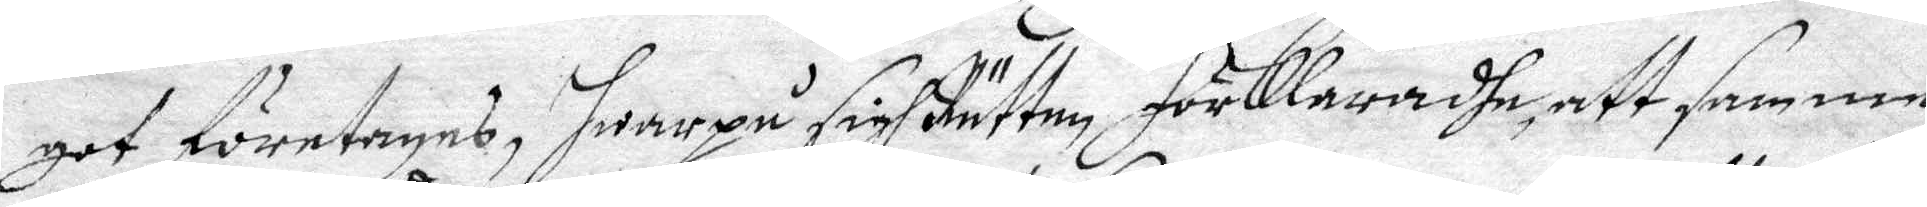got företages, hwarpå sigh Rätten förklaradhe att samma
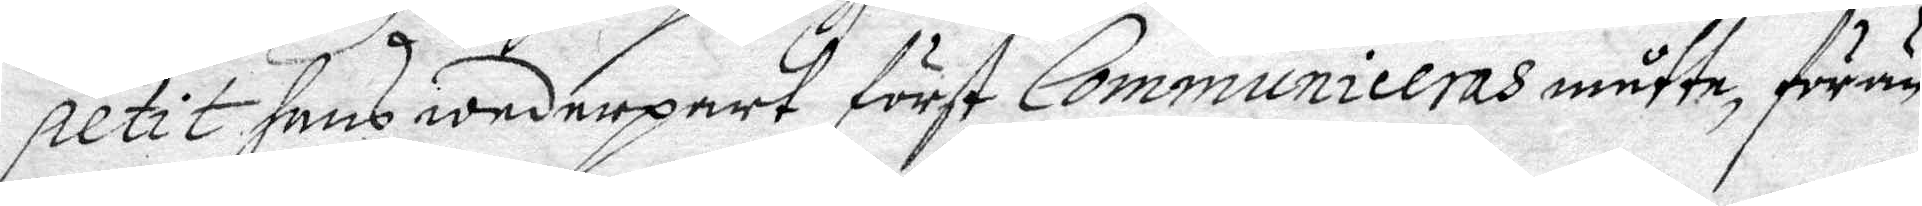petit hans wederpart först Communiceras måtte, förän
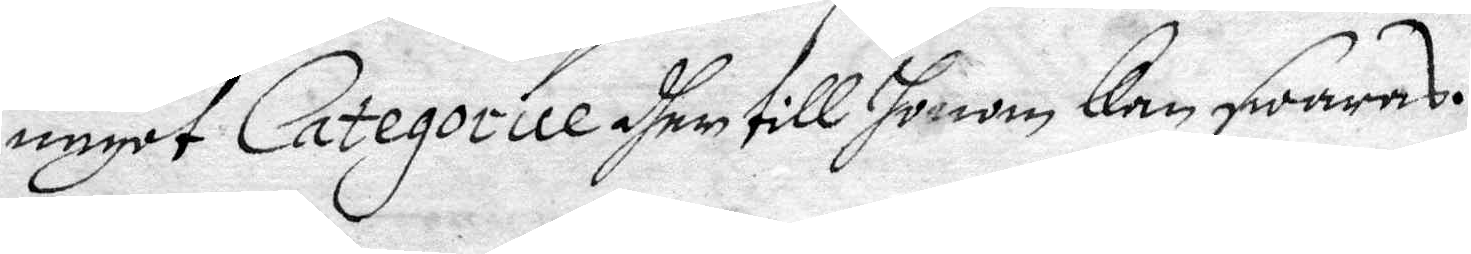något Categorice dhen till honom kan swaras.
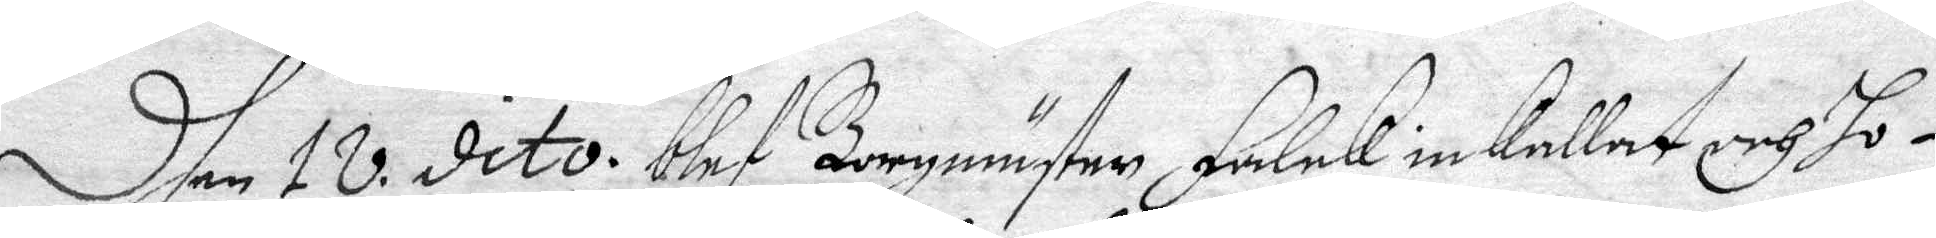Dhen 18 dito. blef Borgmäster Falck inkallat och ho¬
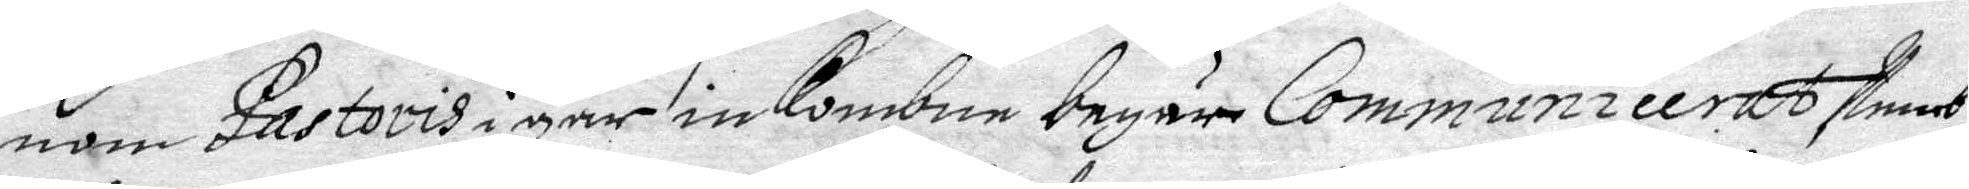nom Pastoris igår inkombne begär Communicerat Nemb¬
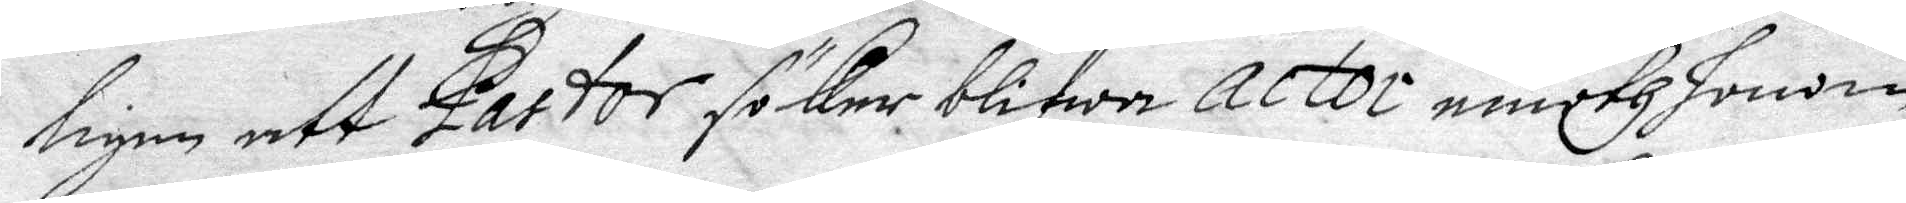ligen att Partor söker blifwa actor emoth honom
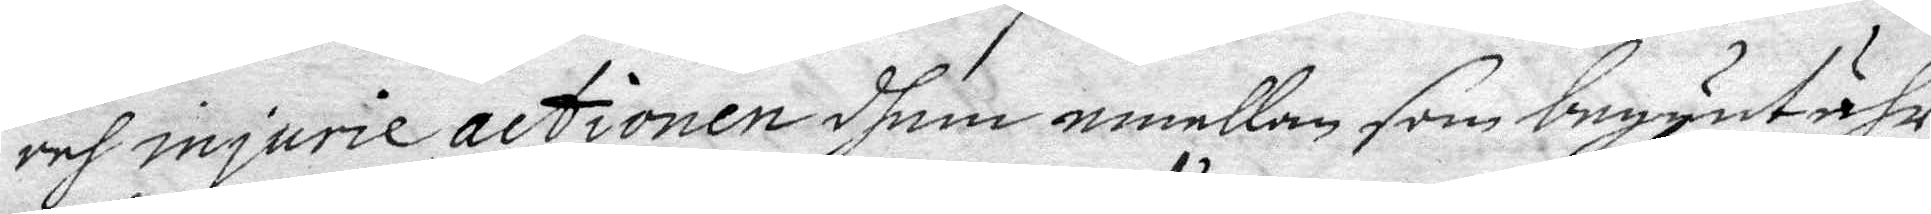och injurie actionen dhem emellan som begynt ähr
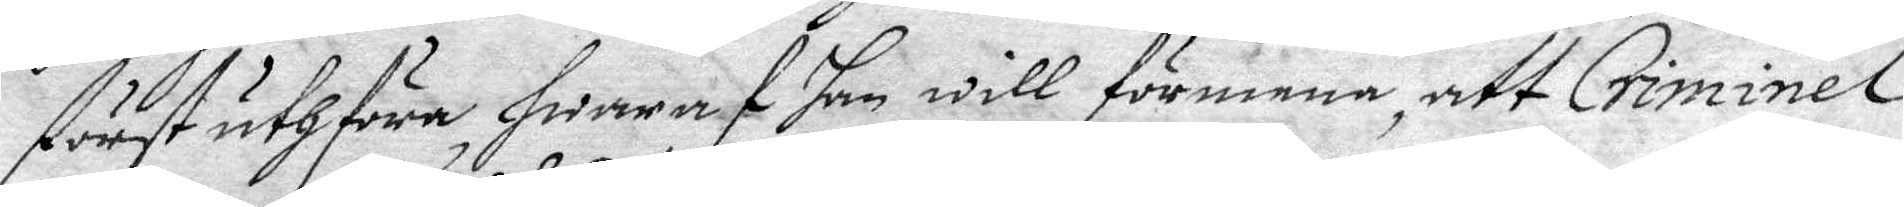först uthföra hwaraf han will förmena, att Criminel¬
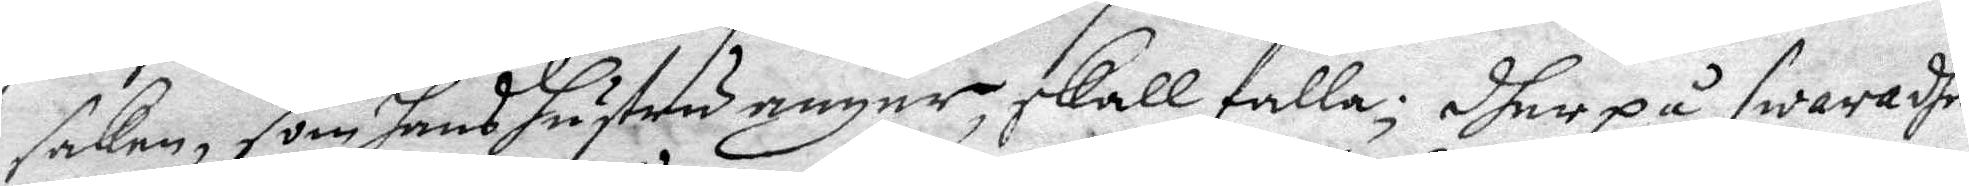saken, som hans hustru angår, skall falla; dher på swaradhe
